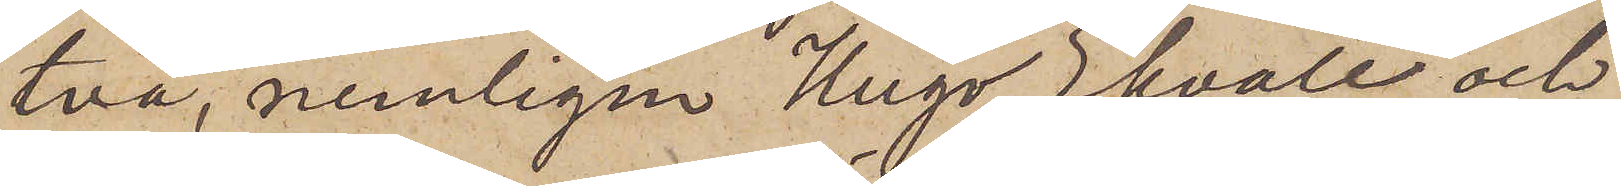två, nemligen Hugo Ekvall och
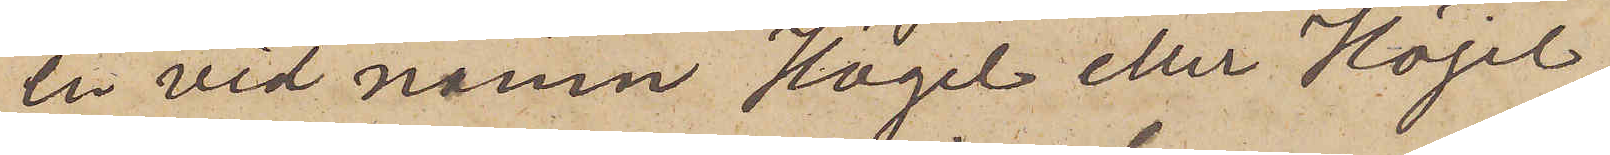en vid namn Hägel eller Höjel.
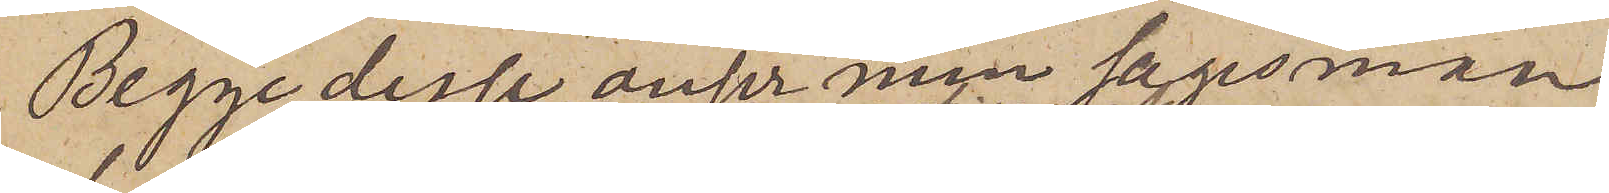Begge desse anser min sagesman
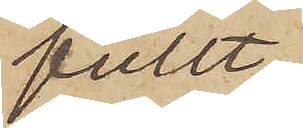fullt
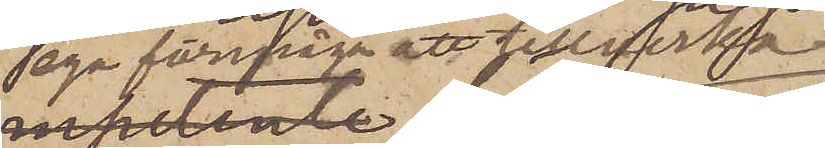ega förmåga att tillverka
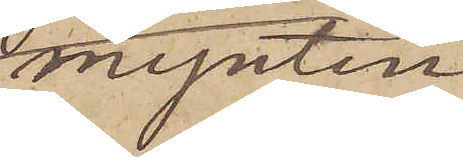mynten.
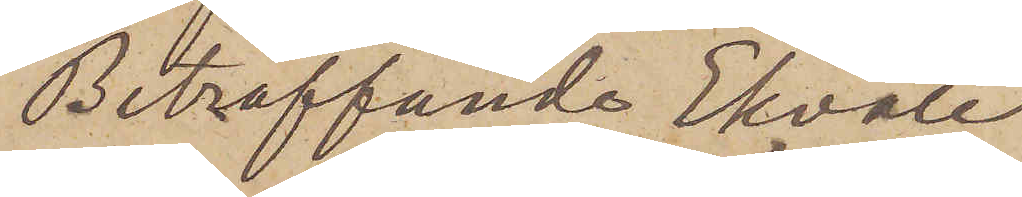Beträffande Ekvall
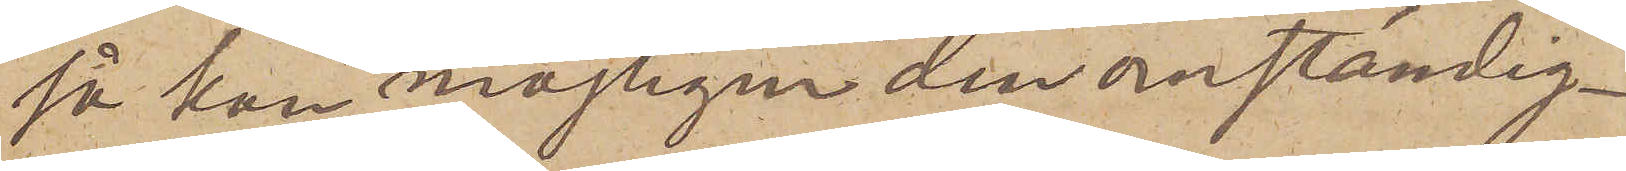så kan möjligen den omständig¬
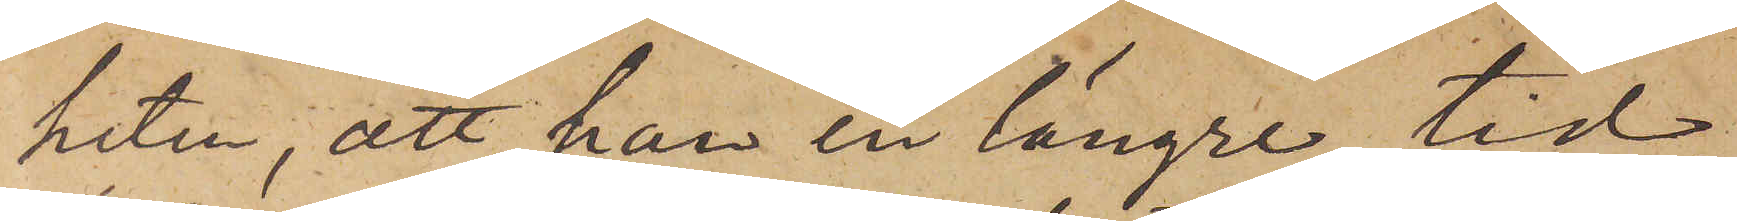heten, att han en längre tid
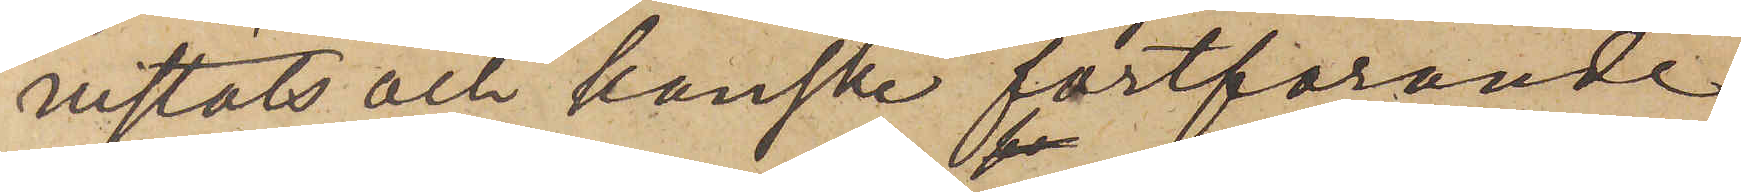vistats och kanske fortfarande
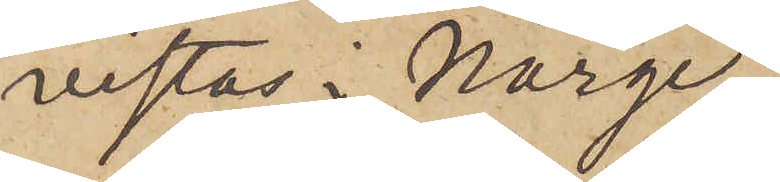vistas i Norge,
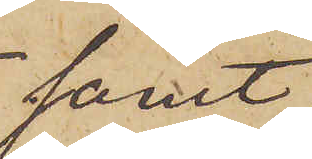samt
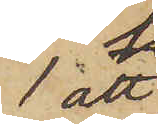att
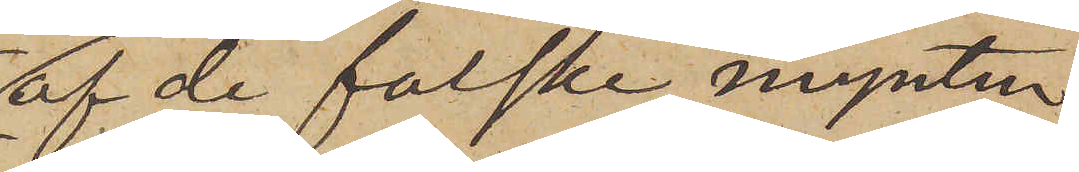af de falske mynten
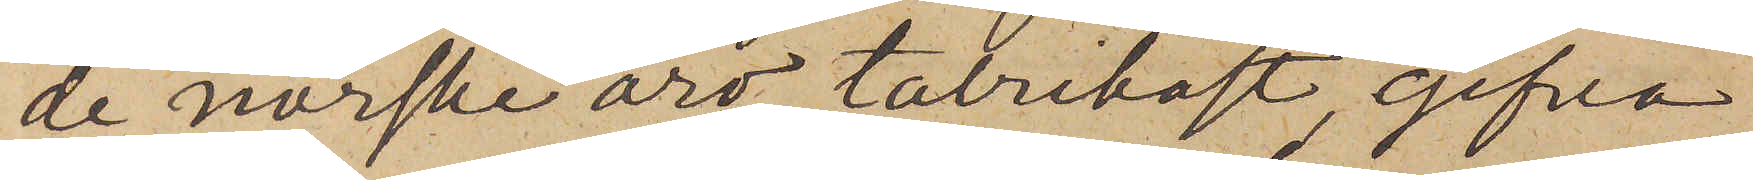de norske äro talrikast, gifva
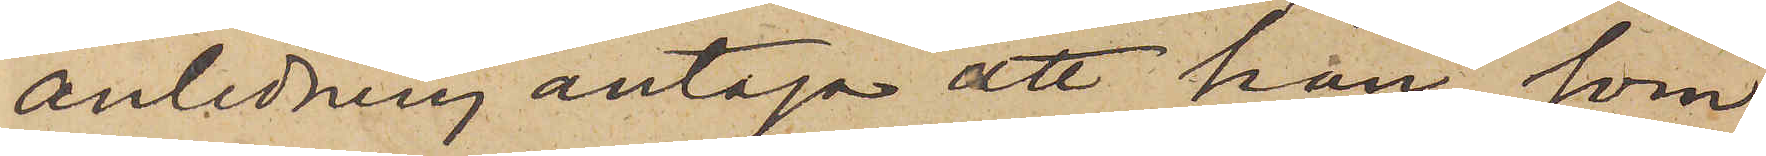anledning antaga att han, som
